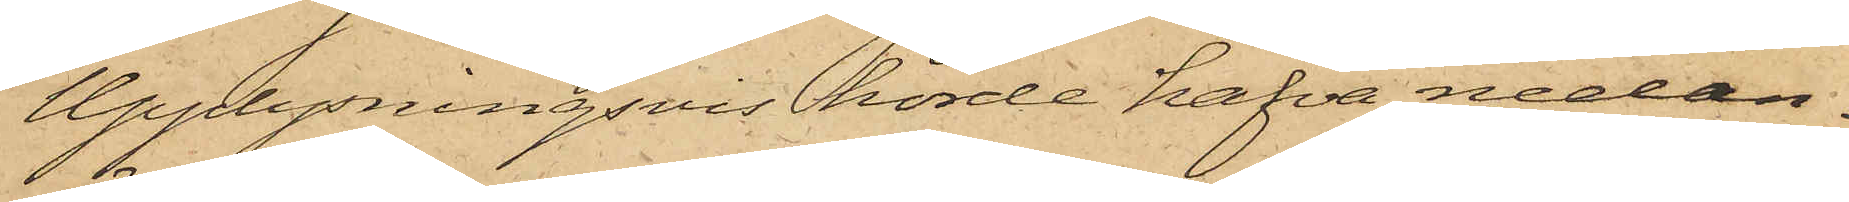Upplysningsvis hörde hafva nedan¬
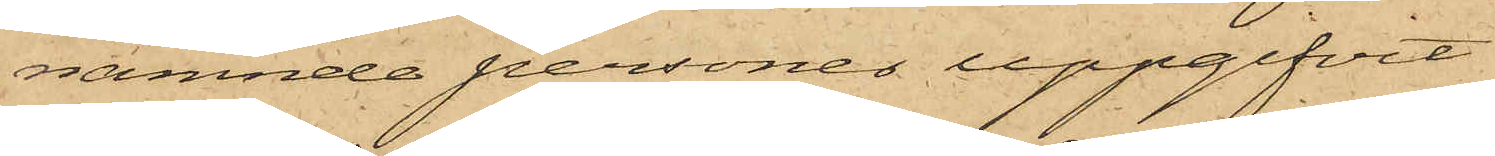nämnde personer uppgifvit
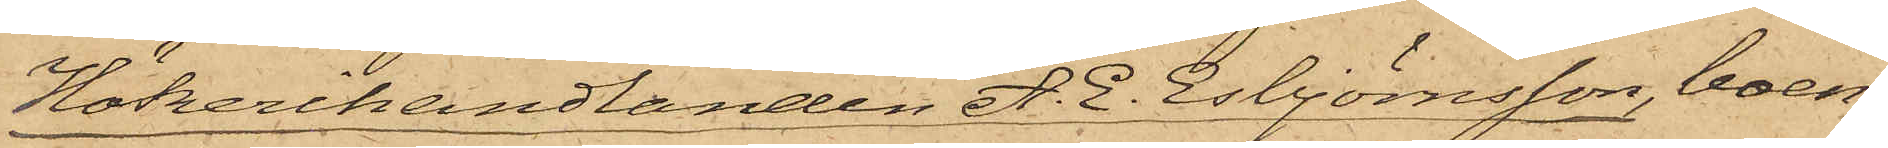Hökerihandlanden A. E. Esbjörnsson, boen¬
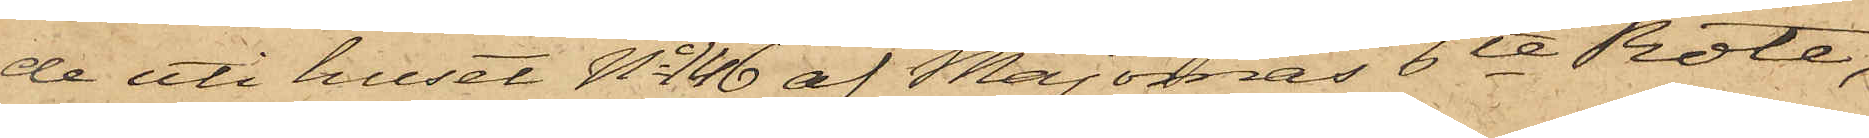de uti huset No 146 af Majornas 6te Rote,
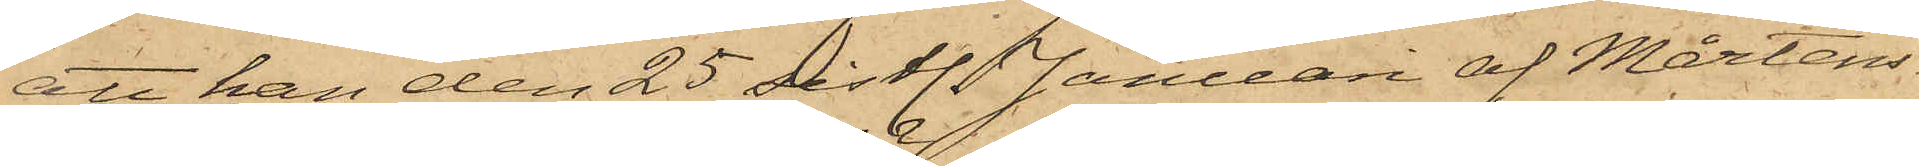att han den 25 sistl. Januari af Mårtens¬
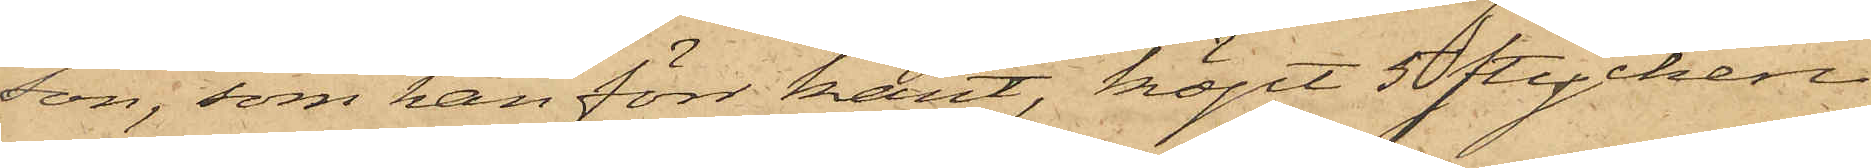son, som han förr känt, köpt 5 stycken
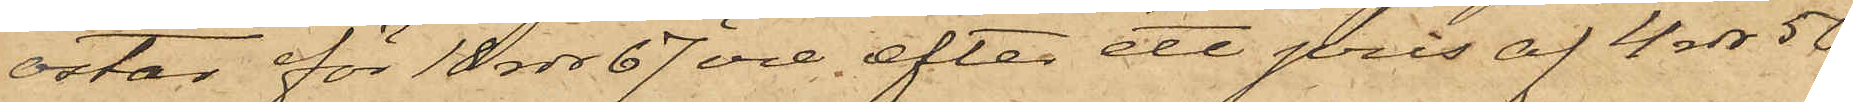ostar för 18 rdr 67 öre, efter ett pris af 4 rdr 50
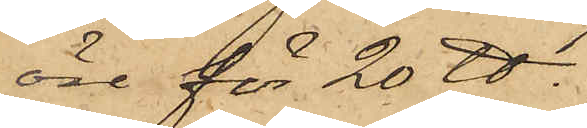öre för 20 ℔.
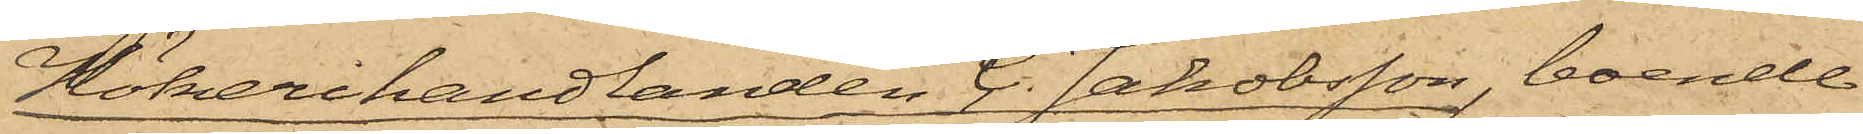Hökerihandlanden C. Jakobsson, boende
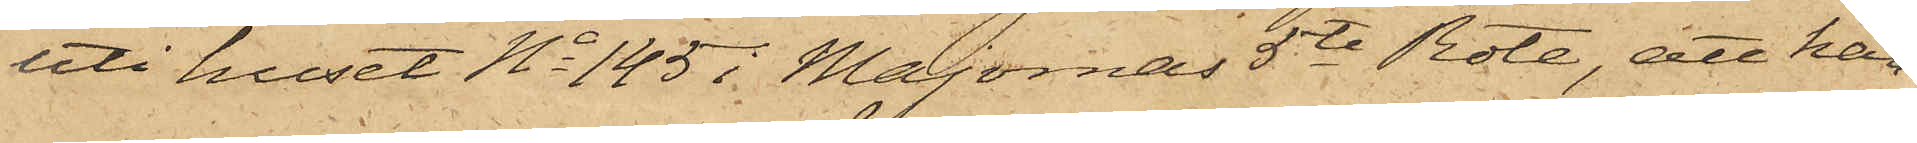uti huset No 145 i Majornas 5te Rote, att han
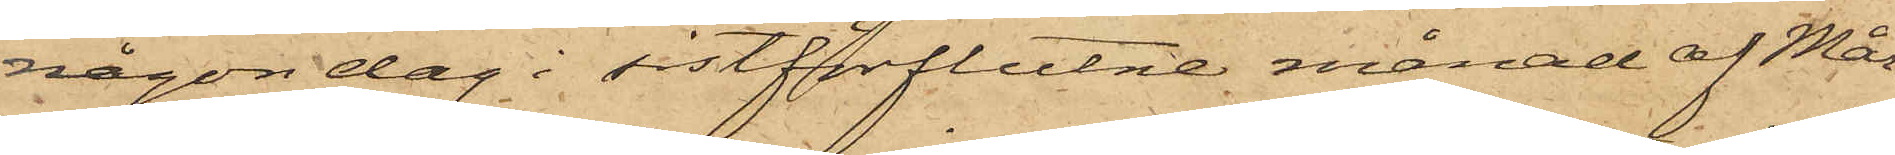någon dag i sistförflutne månad af Mår¬
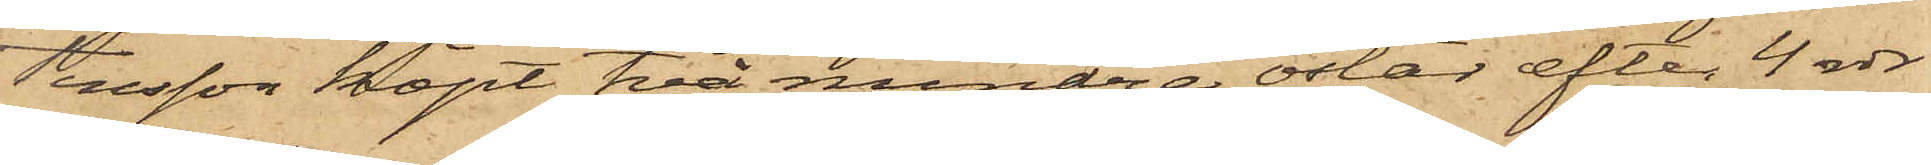tensson köpt två mindre ostar efter 4 rdr
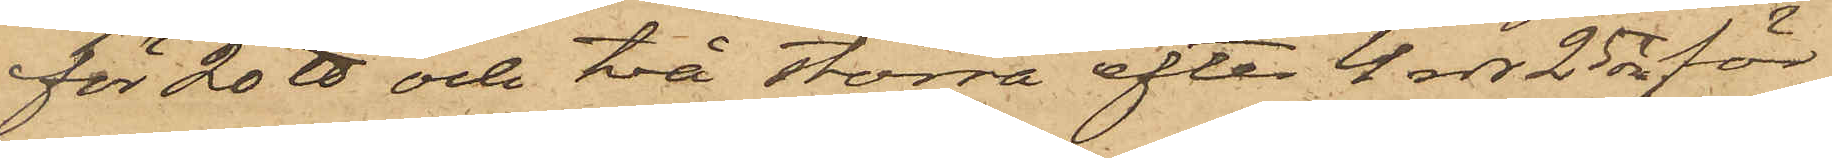för 20 ℔ och två större efter 4 rdr 25 öre för
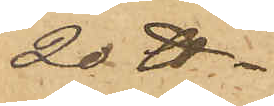20 ℔.
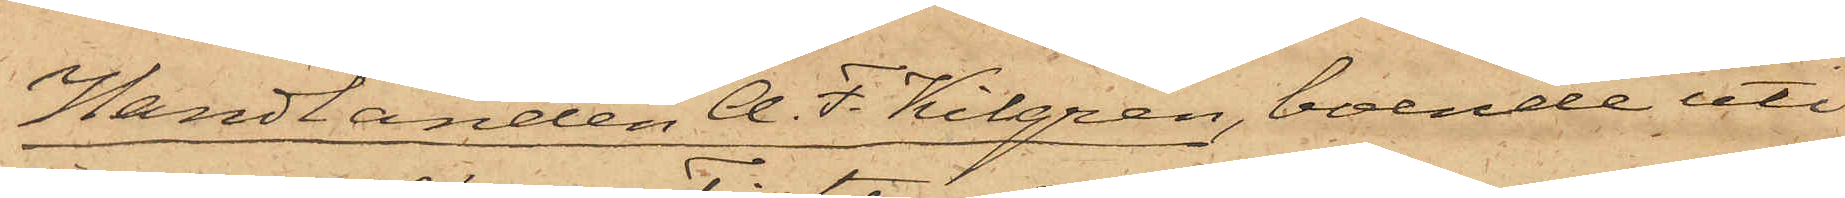Handlanden A. F. Kilgren, boende uti
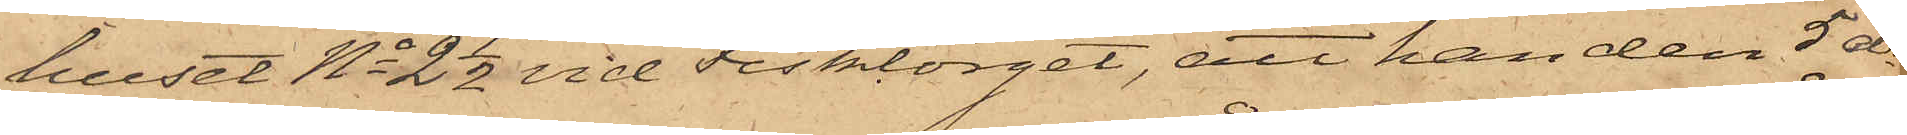huset No 2 1/2 vid Fisktorget, att han den 5 ds
